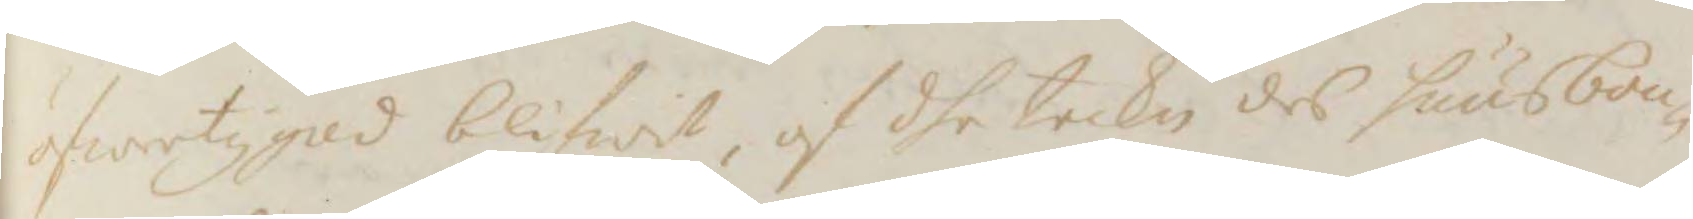öfwertygad blifwit, af dhe tecken des huusbon¬
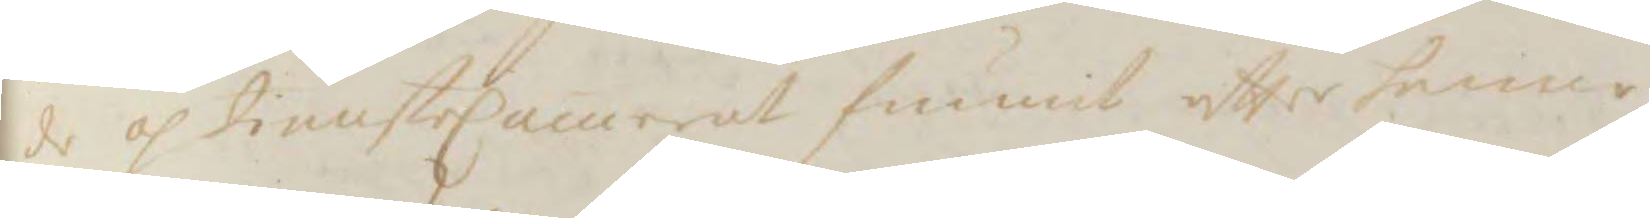de oh tiensteCamrat funnit efter henne
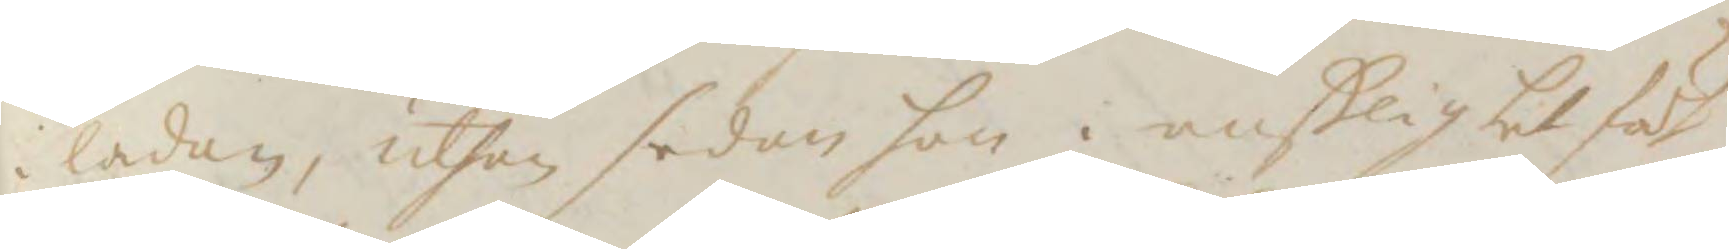i ladan, uthan sedan hon i enslighet födt
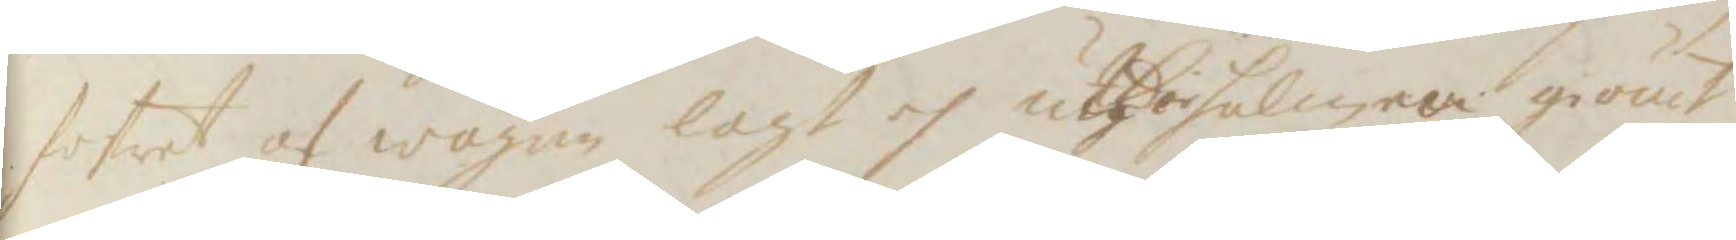fostret oh wägen lagt oh uthi halmen giömt,
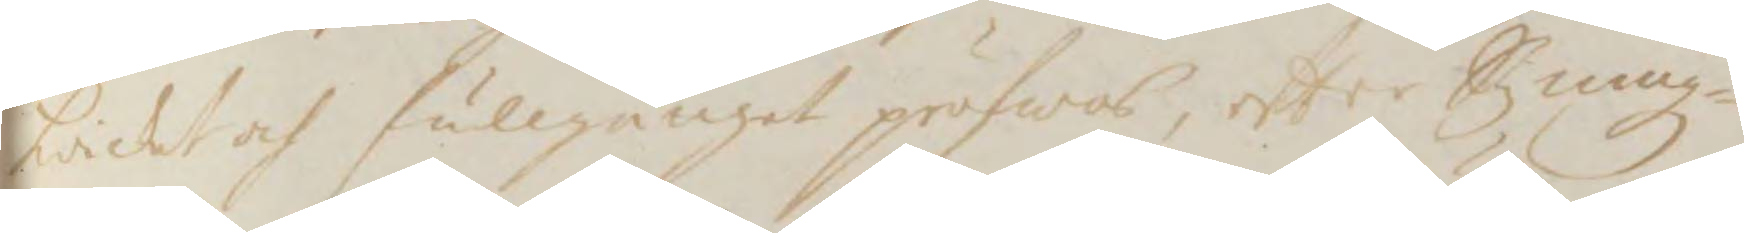kvickt och fullgånget pröfwas, efter Stzning¬
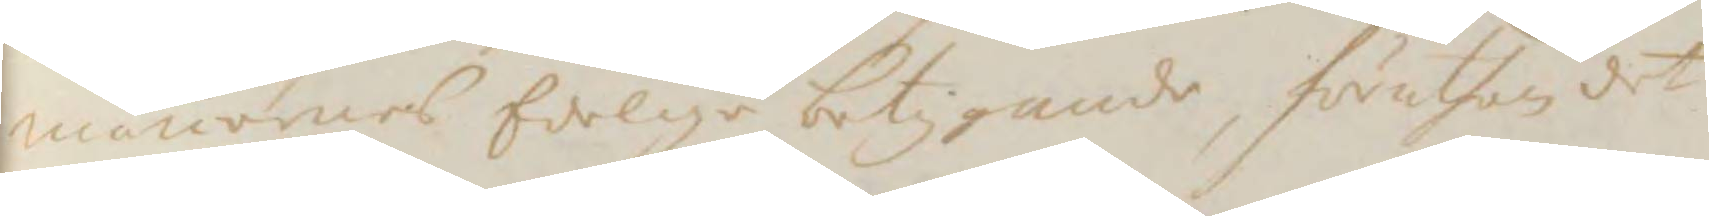mänernes Edelige betygande, föruthan det
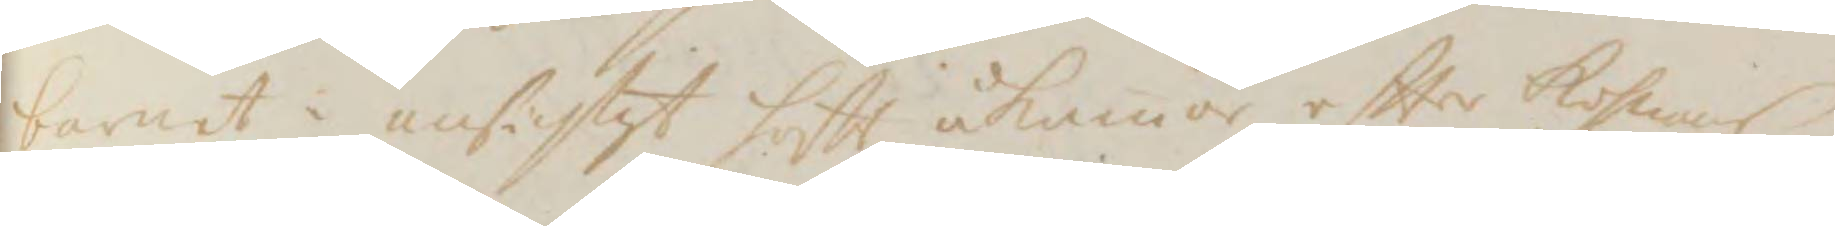barnet i ansichtet haftt åkomor efter Kohnans
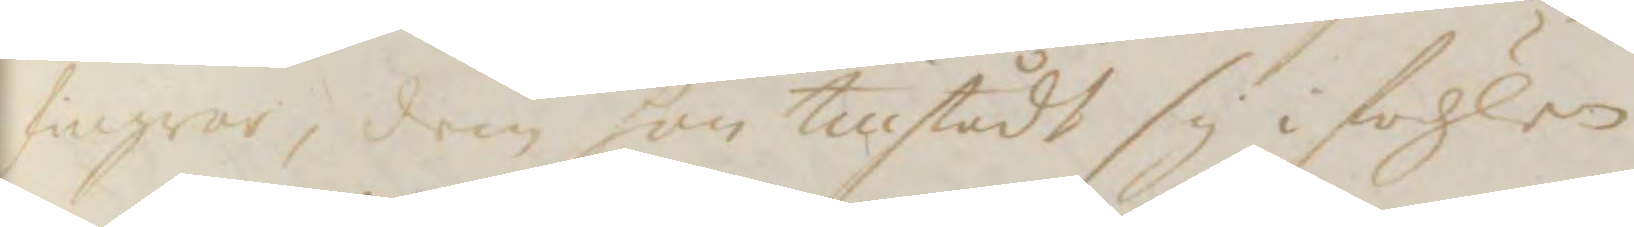fingrar, dem hon tillstådt sig i födzlen
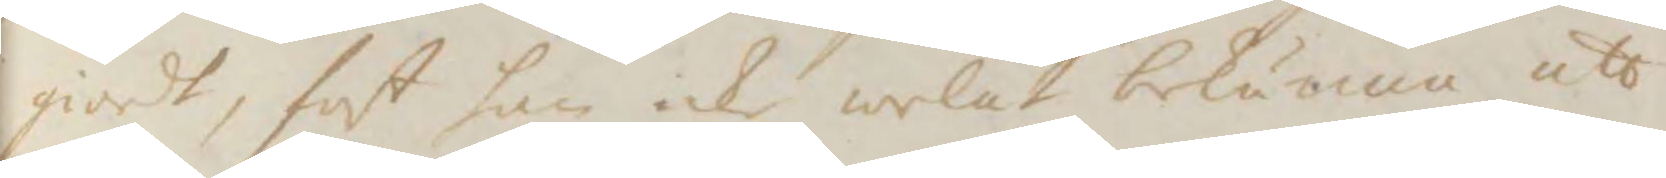giordt, fast hon icke welat bekänna att
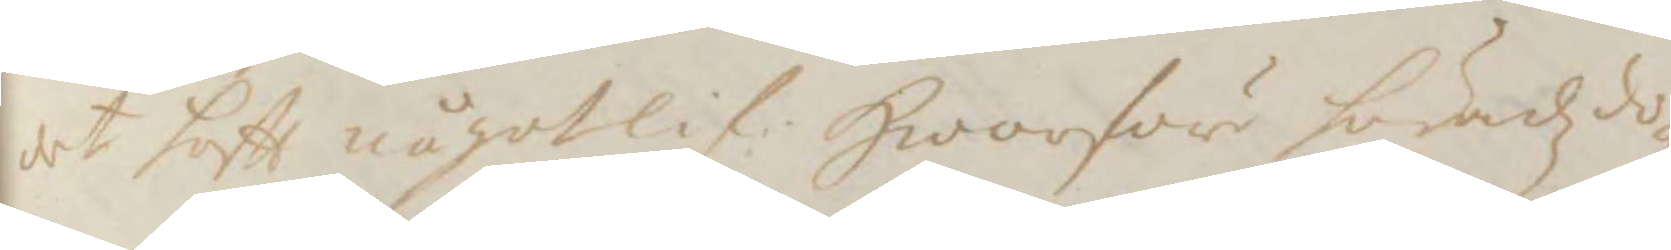det haftt något lif. Hwarföre häradszdo¬
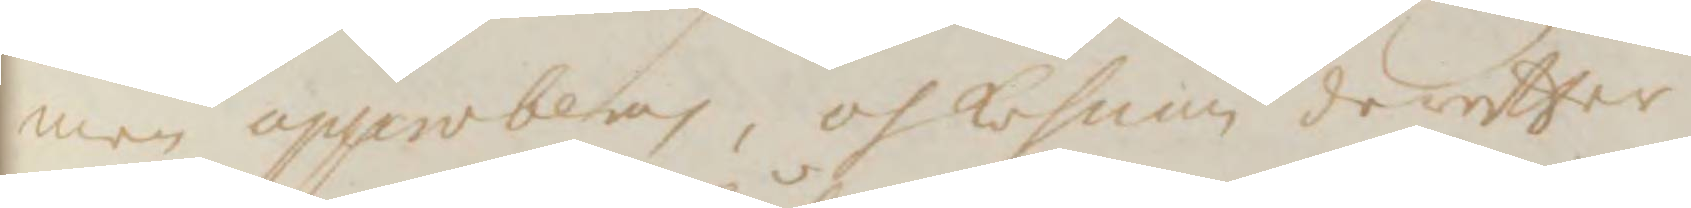men approberas, oh Kohnan derefter
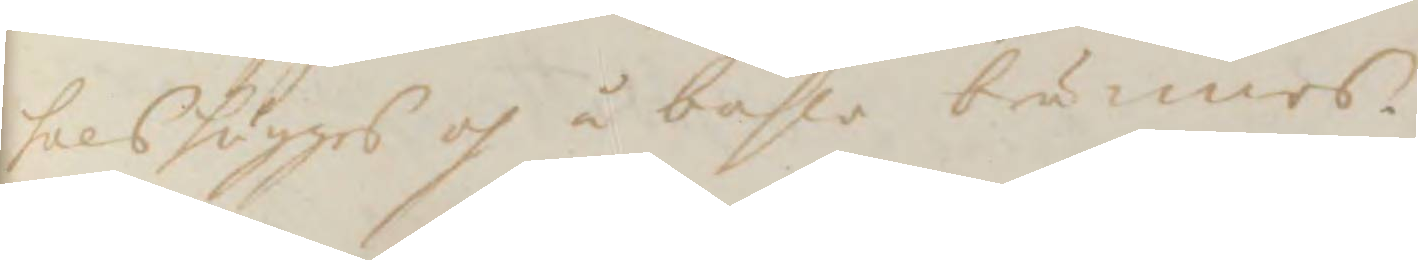halshugges oh å båhle brännes.
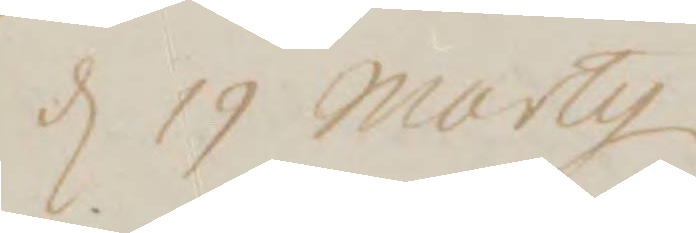d 19 marty
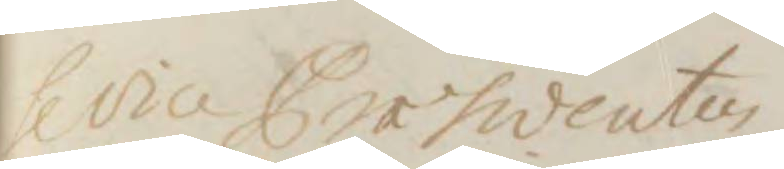fl vice Præsidenten.
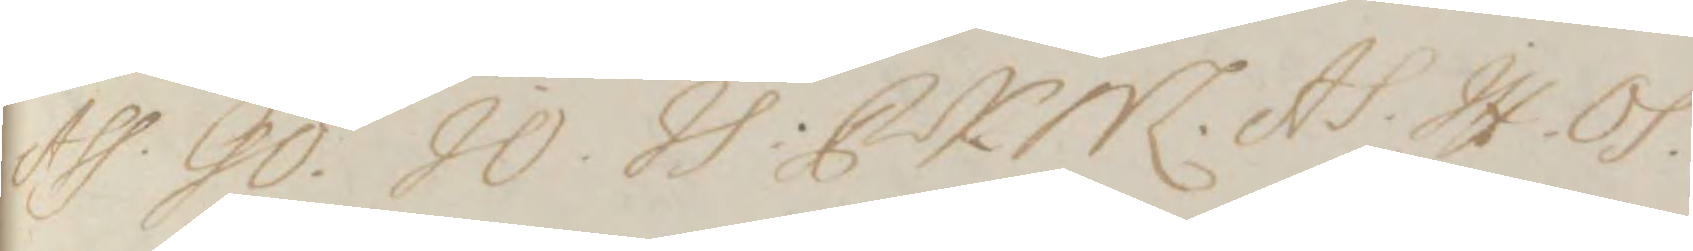Ass. GÖ. JO. JS. CKM. AS. JH. OS.
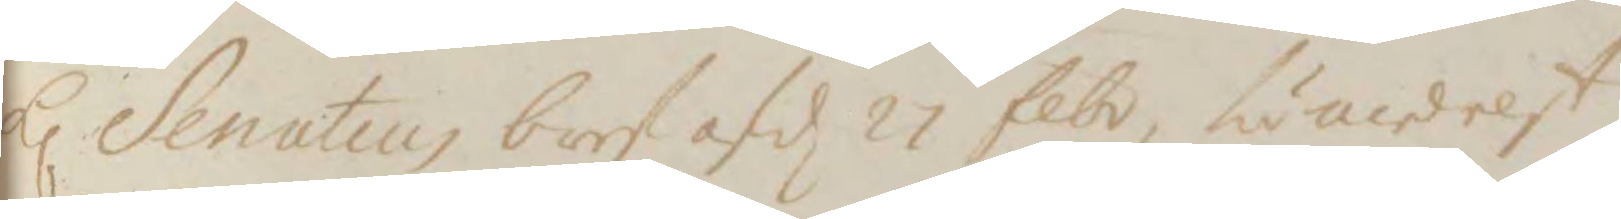hl Senatens bref af d 27 febr. fumedelst
